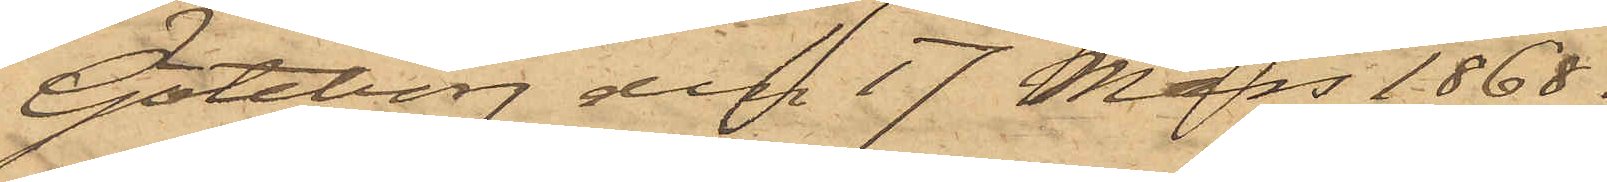Göteborg den 17 Mars 1868.
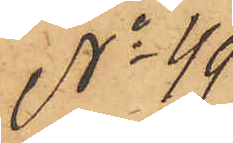No 49.
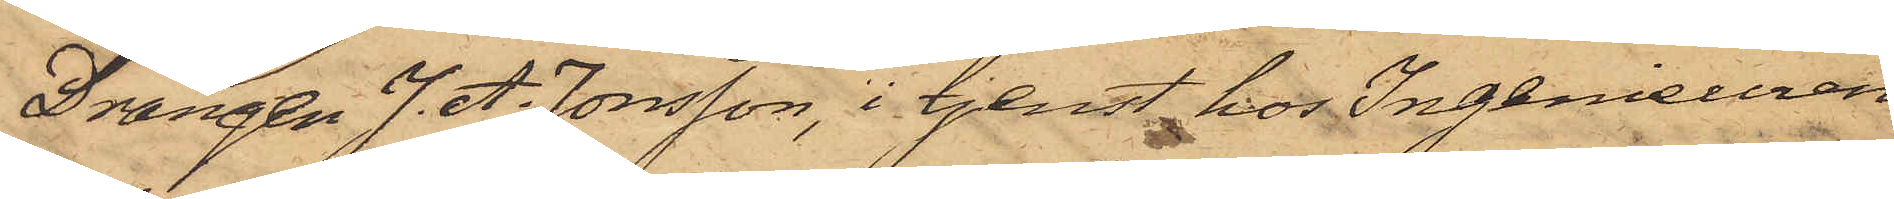Drängen J. A. Jonsson, i tjenst hos Ingenieuren
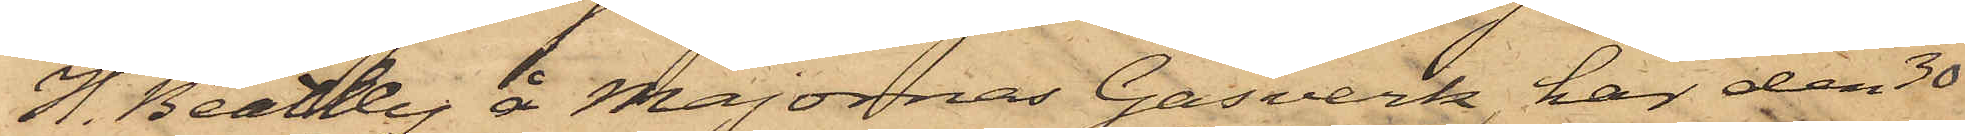H. Beatley å Majornas Gasverk, har den 30
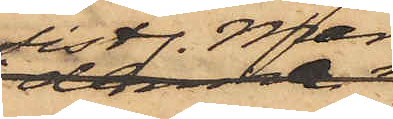sistl. Mars
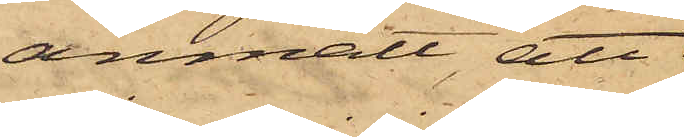anmält, att
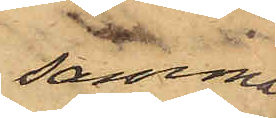samma
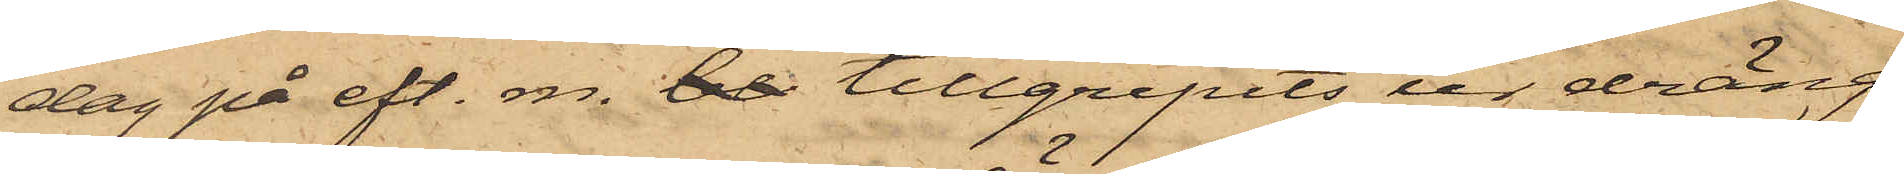dag på eft. m. be tillgripits ur dräng¬
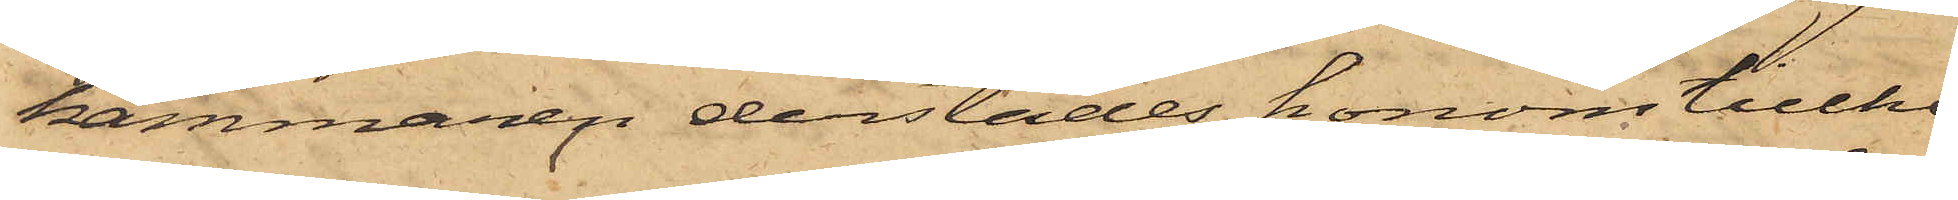kammaren derstädes honom tillhö¬
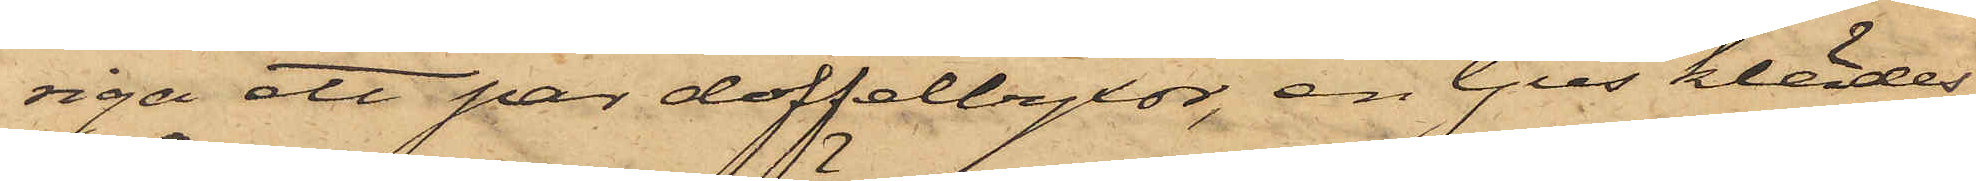riga ett par doffelbyxor, en ljus klädes¬
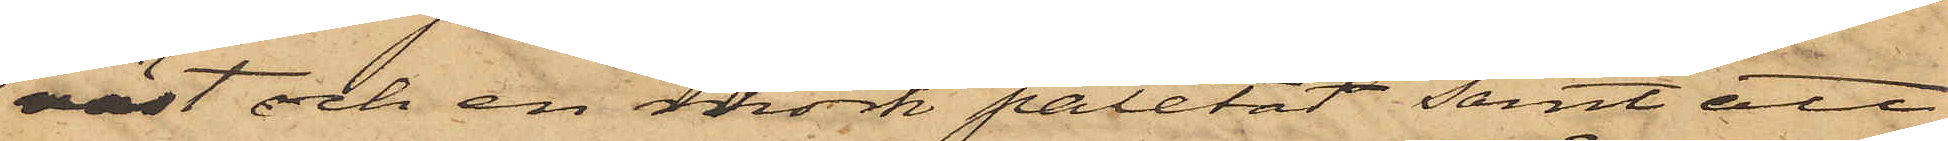väst och en mörk paletot, samt att
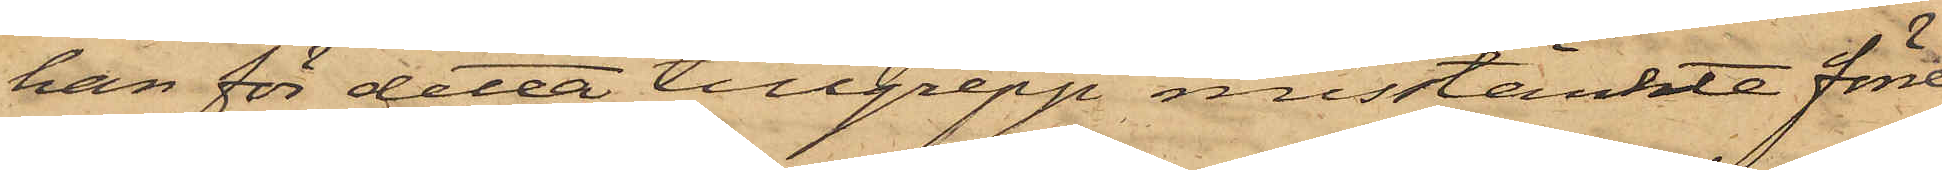han för detta tillgrepp misstänkte förre
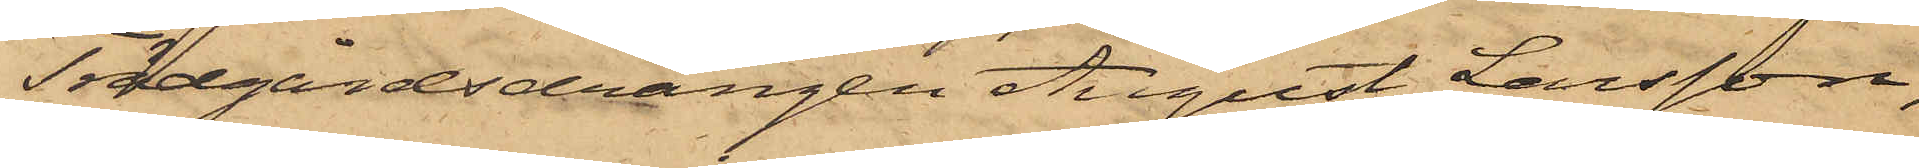Trädgårdsdrängen August Larsson,
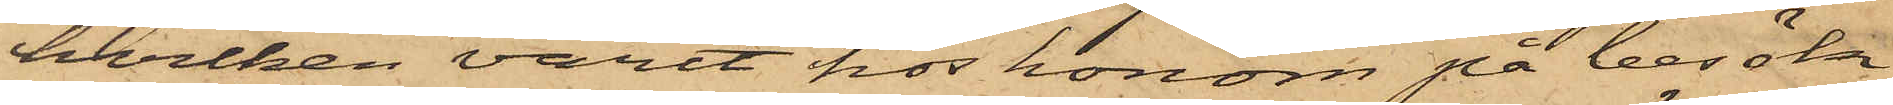hvilken varit hos honom på besök
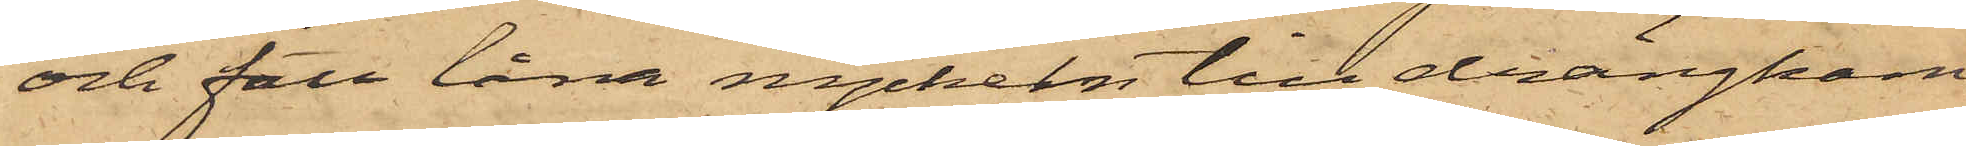och fått låna nycklen till drängkam¬
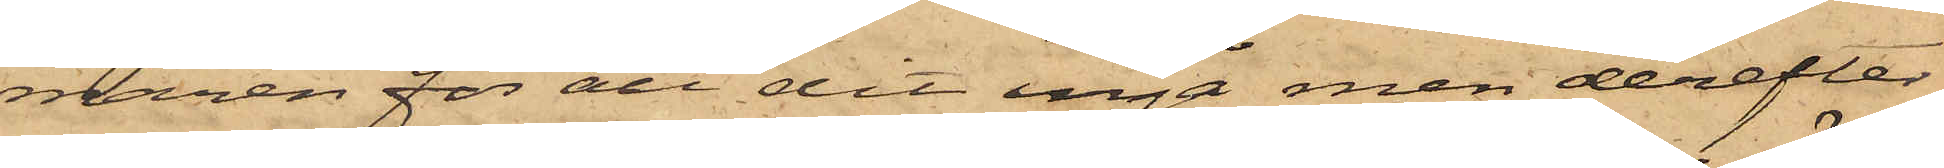maren för att dit ingå men derefter
